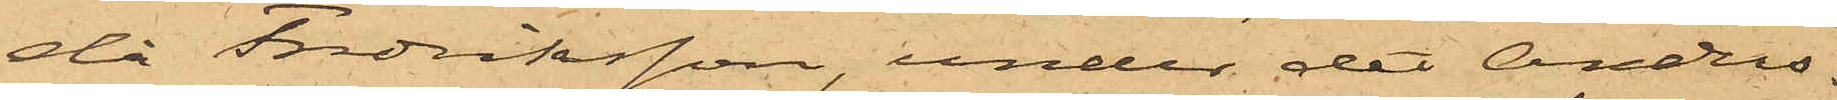då Fredriksson, under det Anders¬
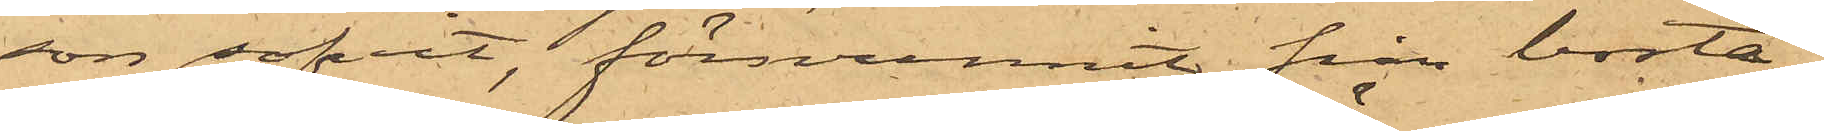son sofvit, försvunnit från bosta¬
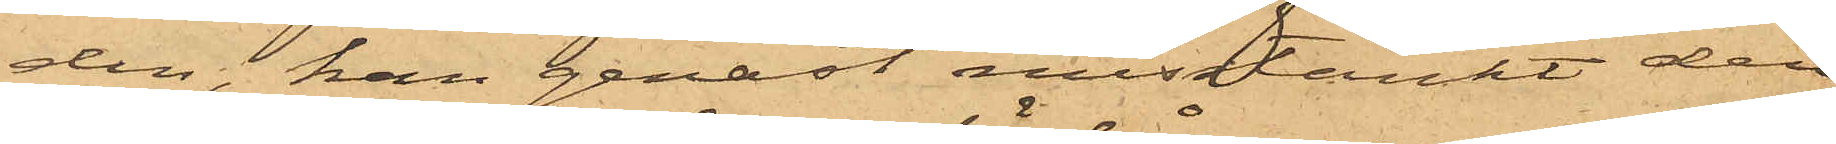den, han genast misstänkt den¬
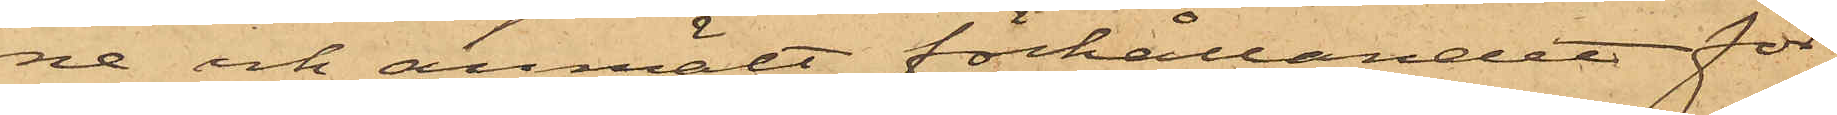ne och anmält förhållandet för
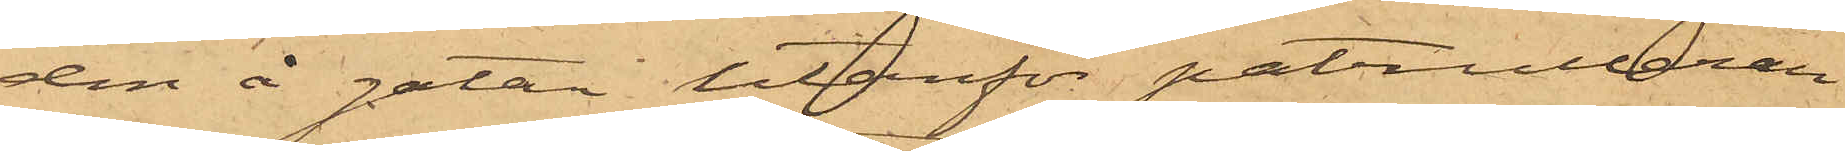den å gatan utanför patrulleran¬
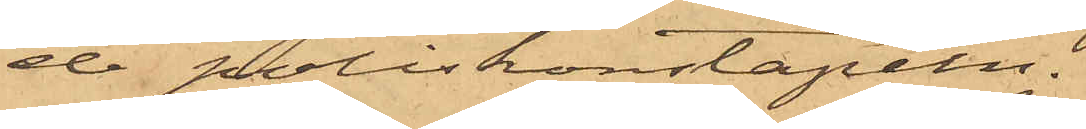de poliskonstapeln.
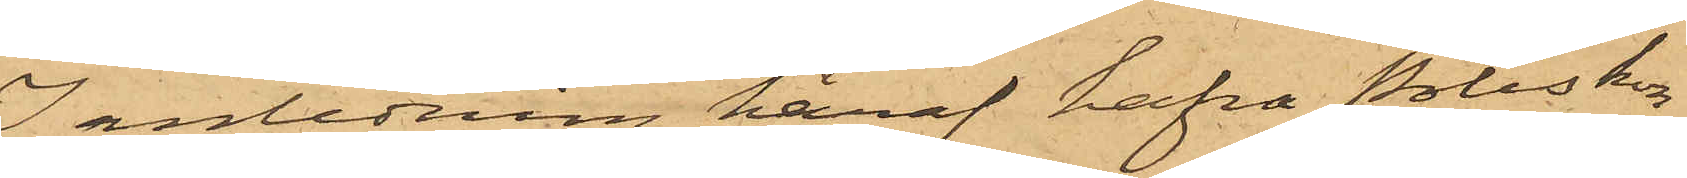I anledning häraf hafva Poliskon¬
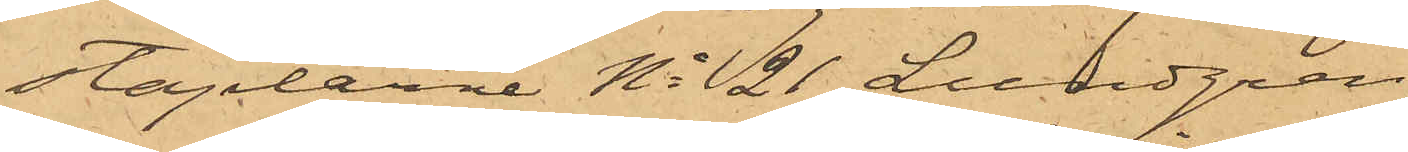staplarne No 21 Lundgren,
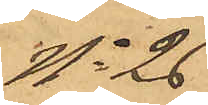No 26
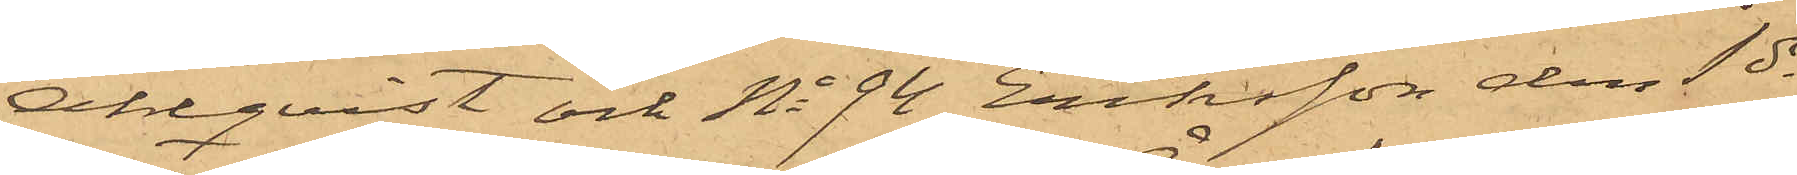Ahlqvist och No 94 Eriksson den 1 ds
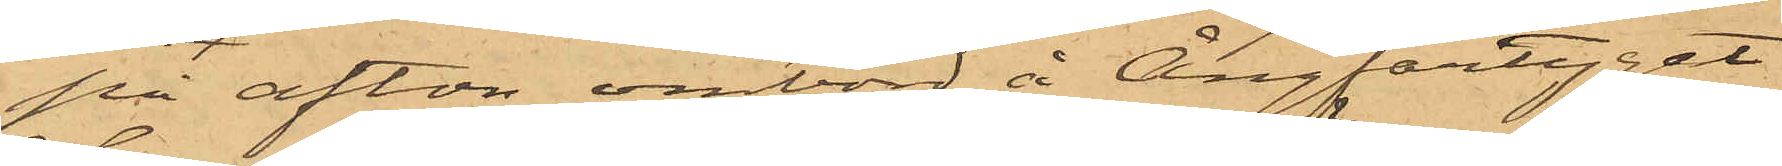på afton ombord å Ångfartyget
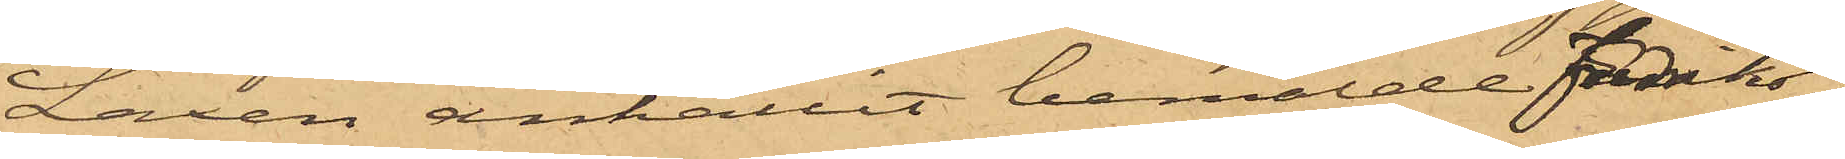Laxen anhållit bemälde Fredriks¬
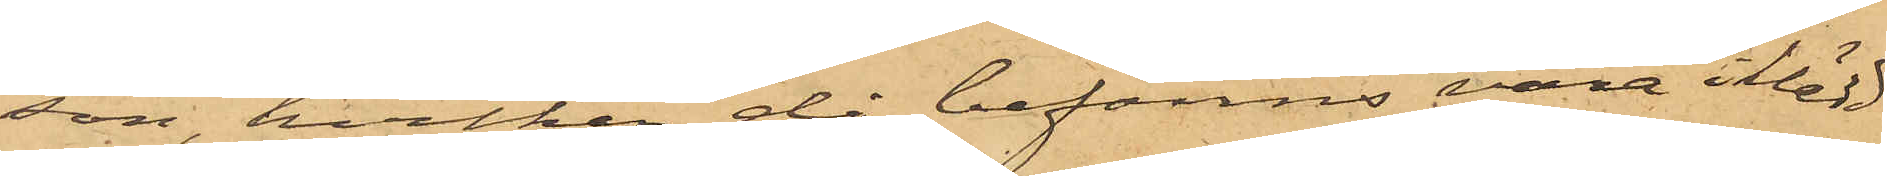son, hvilken då befanns vara iklädd
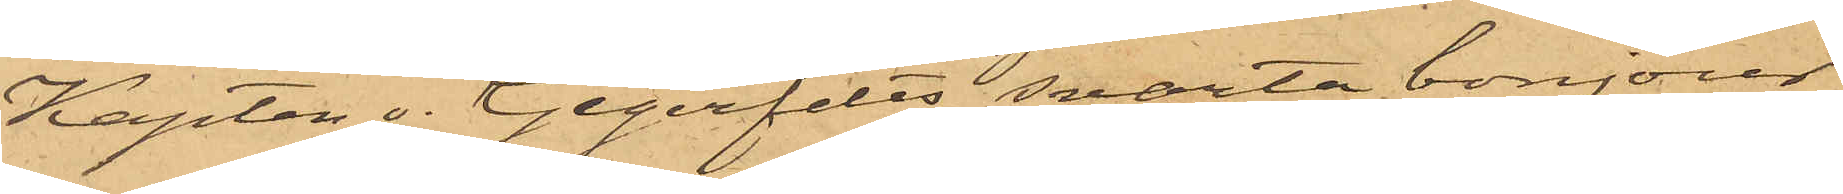Kapten v. Gegerfelts svarta bonjour
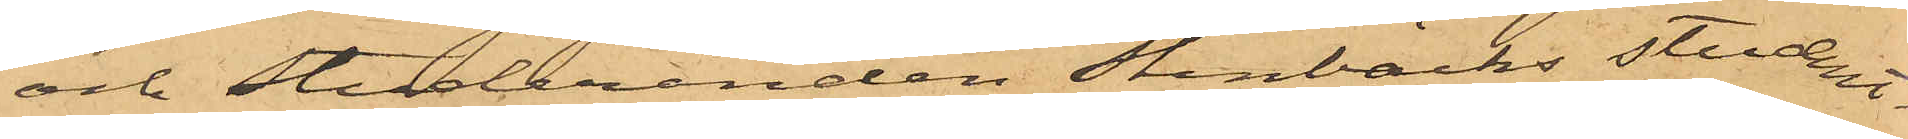och Studeranden Stenbäcks student¬
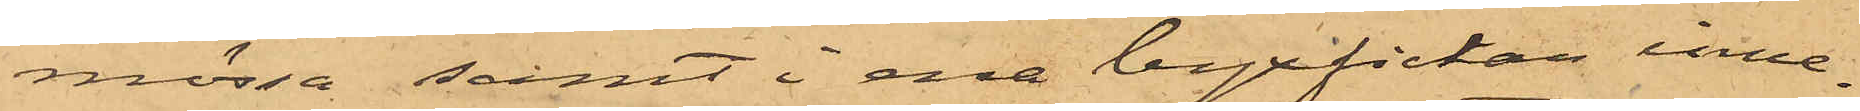mössa; samt i ena byxfictan inne¬
